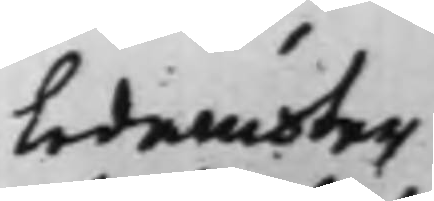Ledamöter
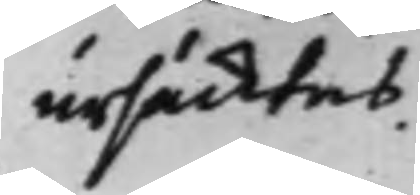ursächtas.
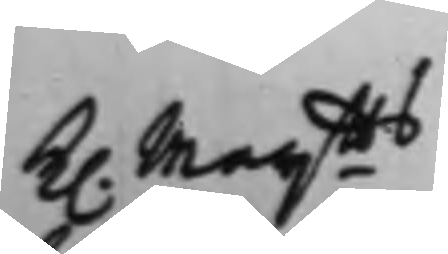K. Maijtts
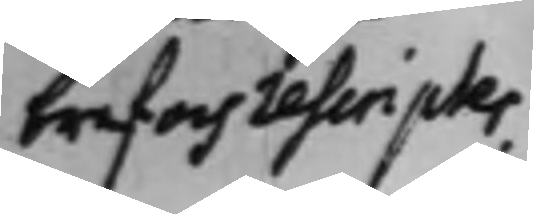bref och rescripter.
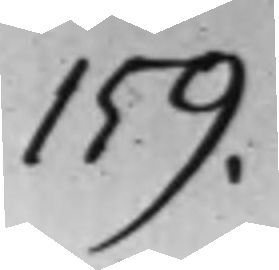159.
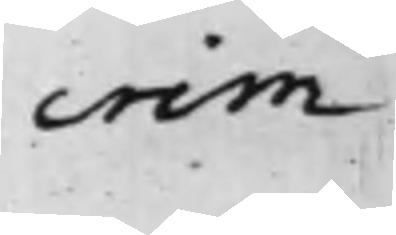crim.
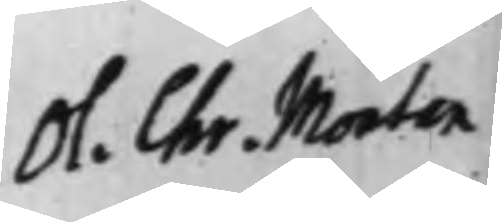Ol. Chr. Montan
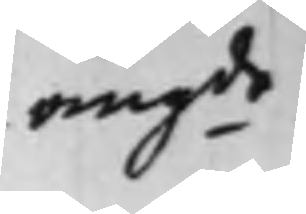angde
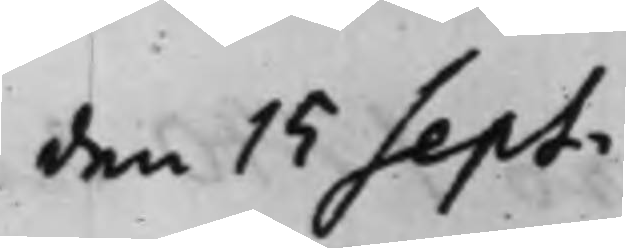den 15 Sept.
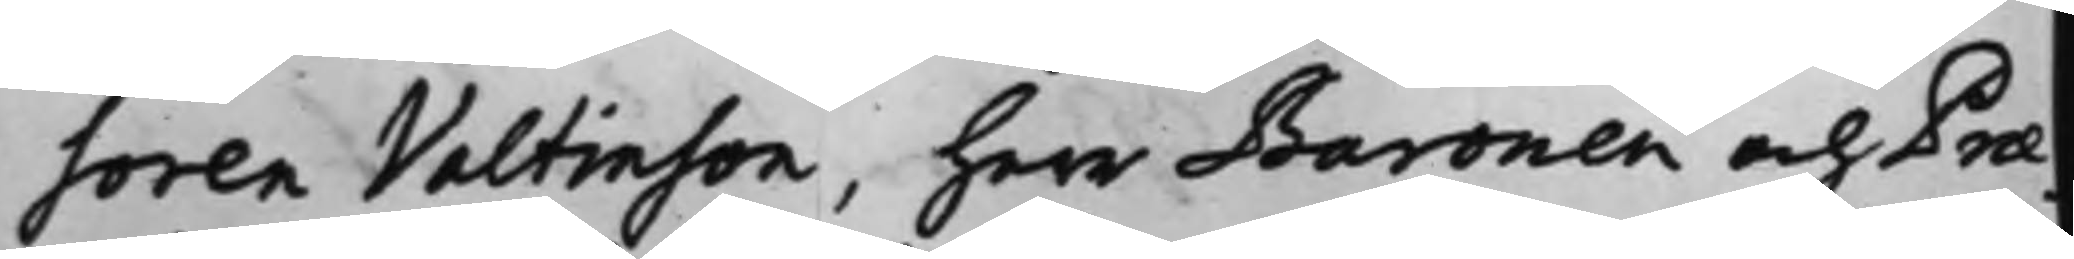soren Valtinson, herr Baronen och Præ¬
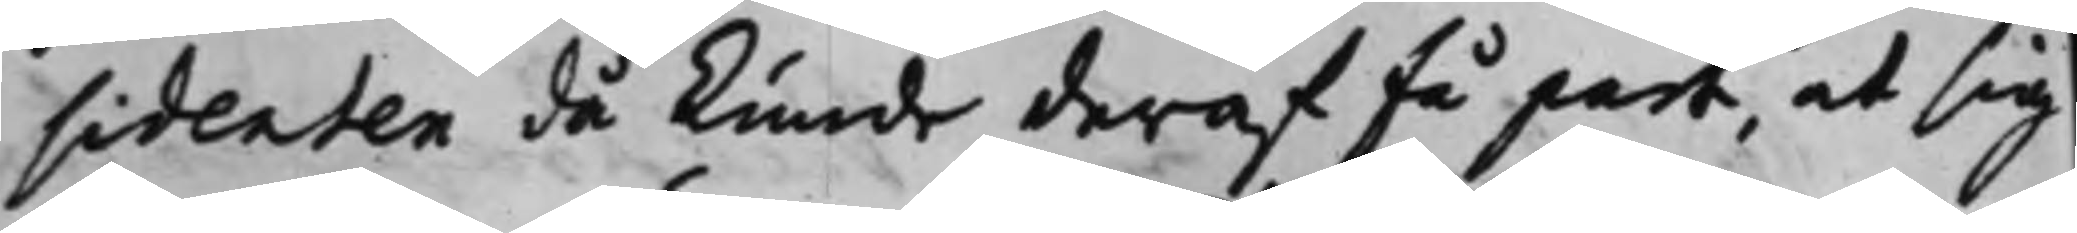sidenten då kunde deraf få part, at sig
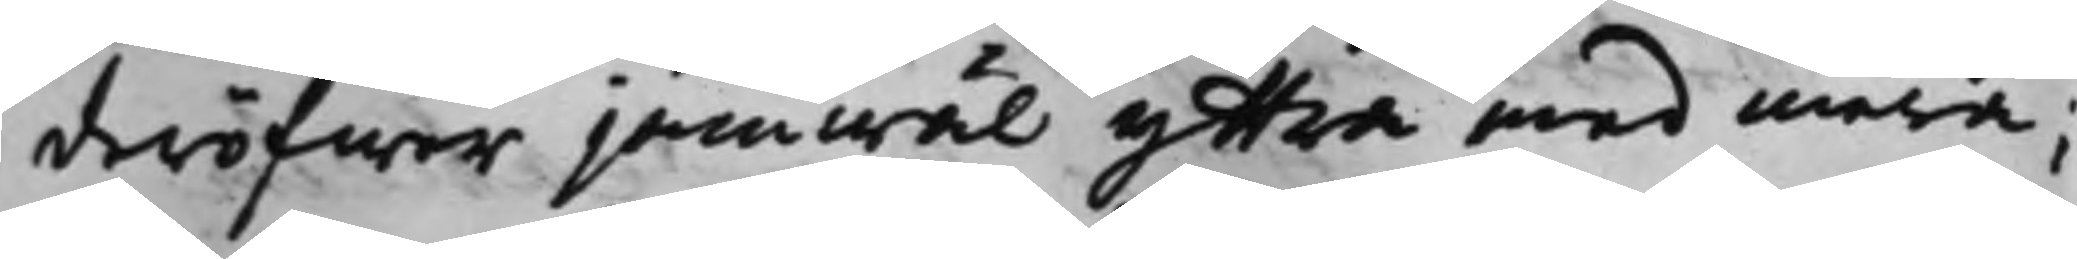deröfwer jämwäl yttra med mera;
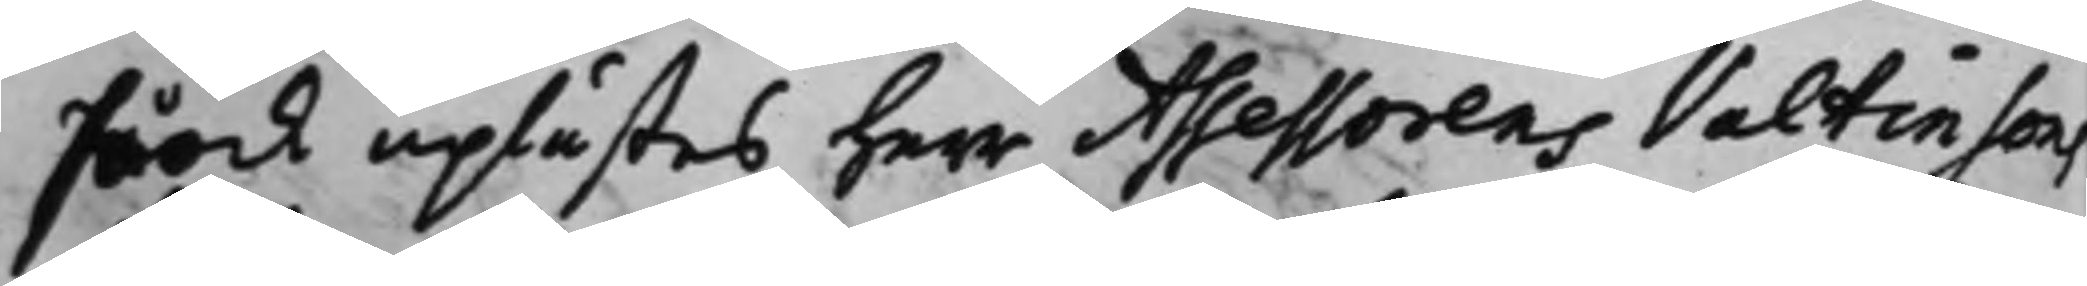Så ock uplästes herr Assessorens Valtinsons
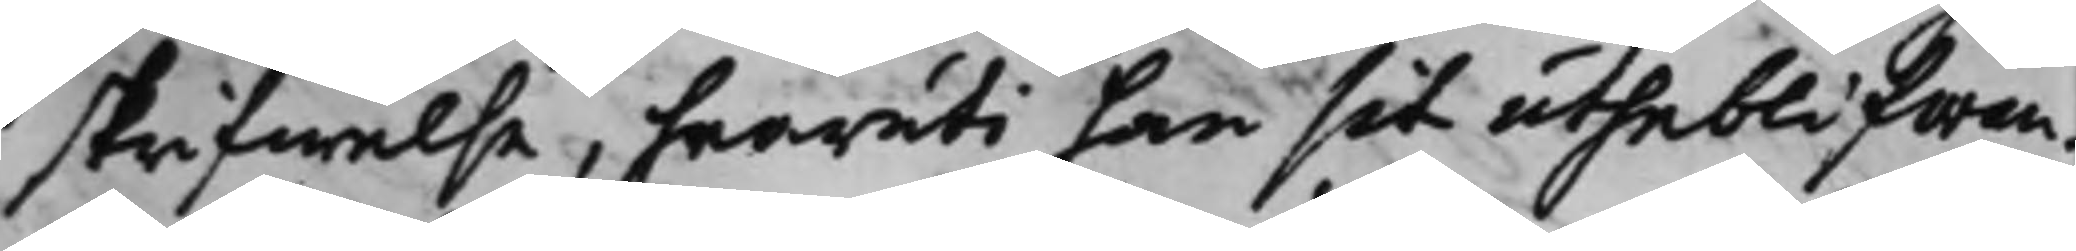skrifwelse, hwaruti han sit utheblifwan¬
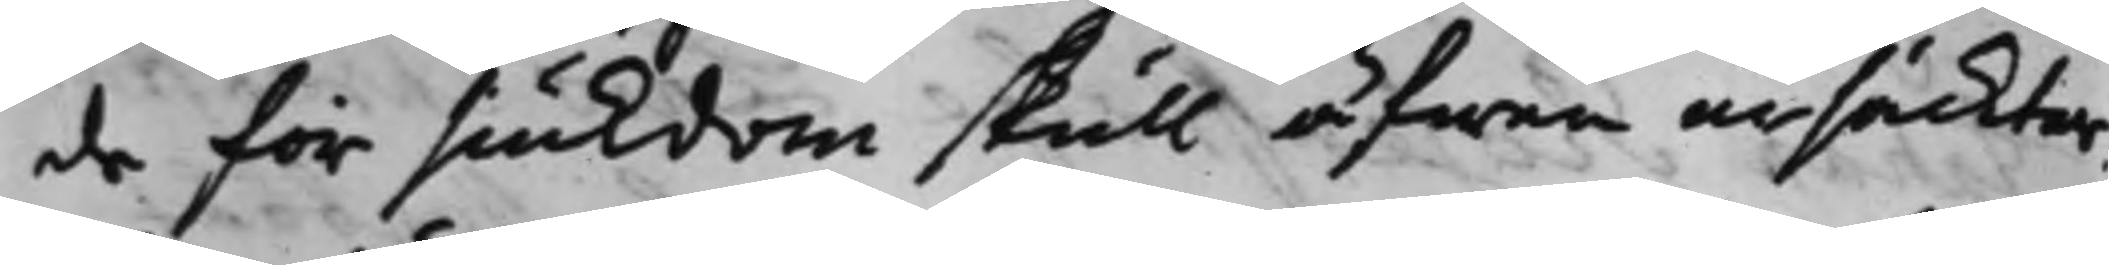de för siukdom skull äfwen ursäcktar,
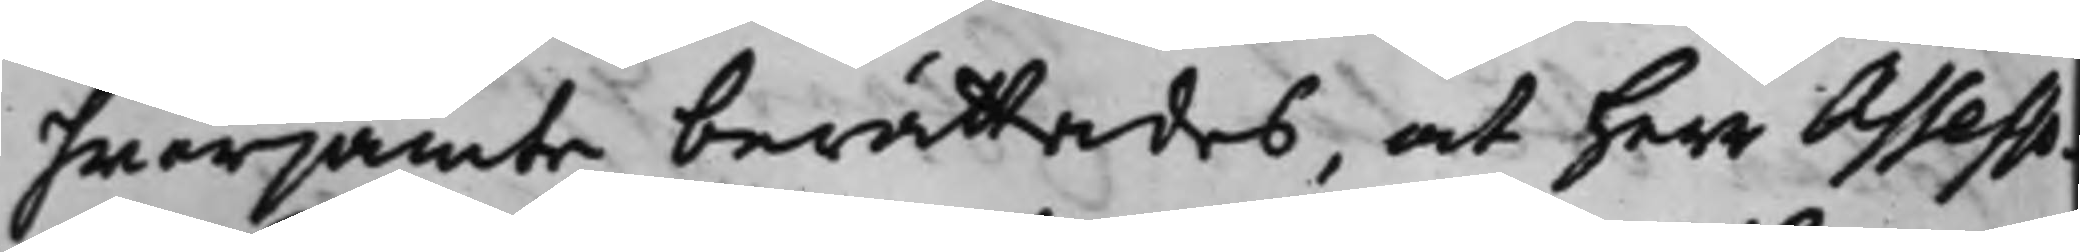hwarjämte berättades, at herr Assesso¬
